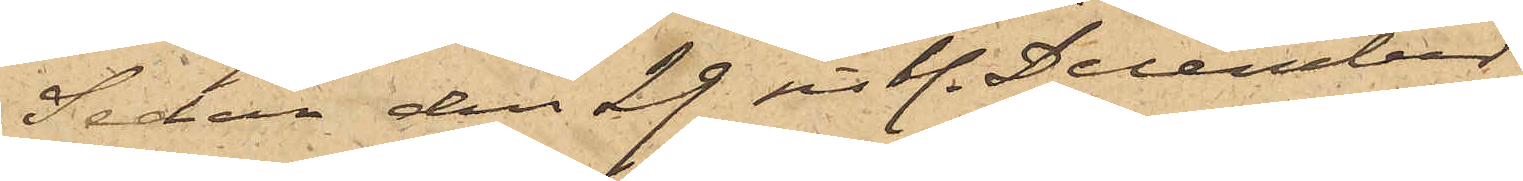Sedan den 29 sist. December
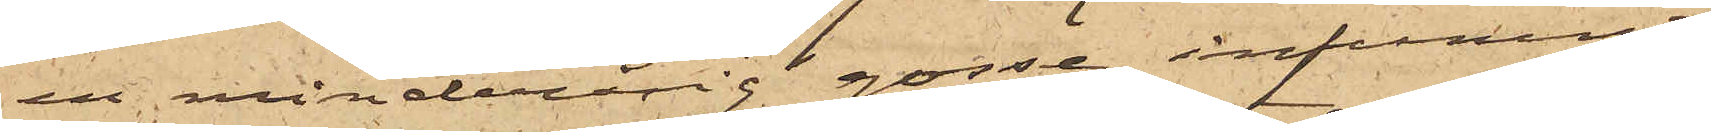en minderårig gosse infunnit
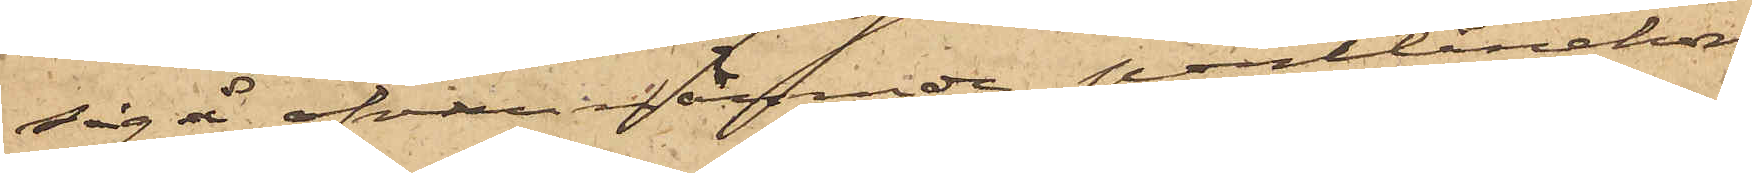sig å ofvannämnde pantlånekon¬
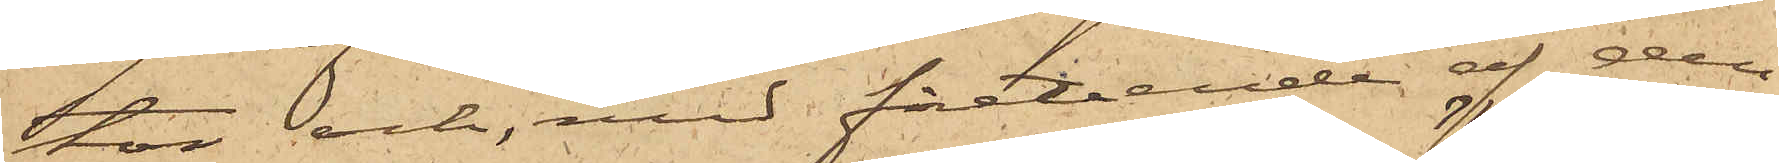tor och, med företeende af den
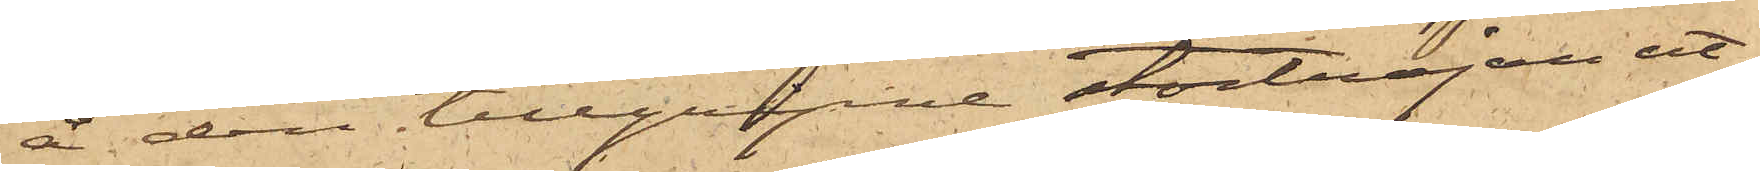å den tillgripne stortröjan ut¬
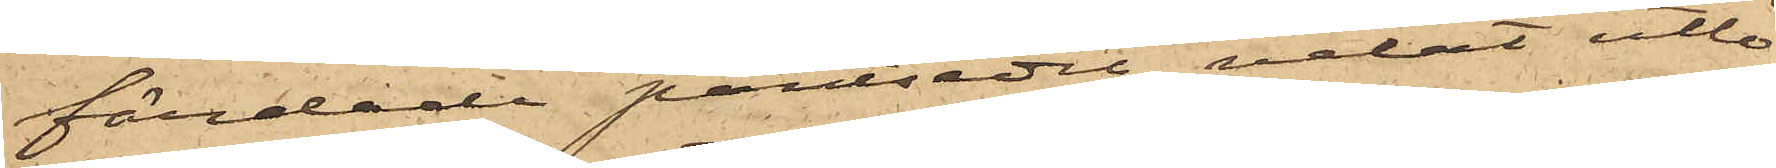färdade pantsedel, velat utlö¬
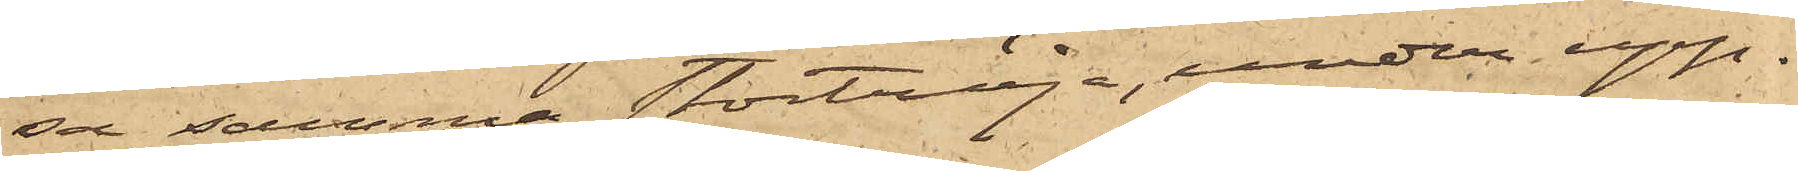sa samma stortröja, under upp¬
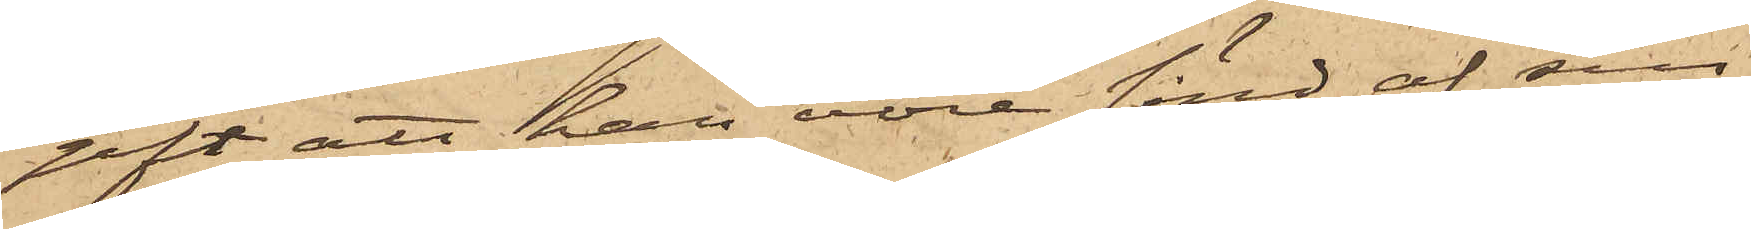gift att han vore sänd af sin
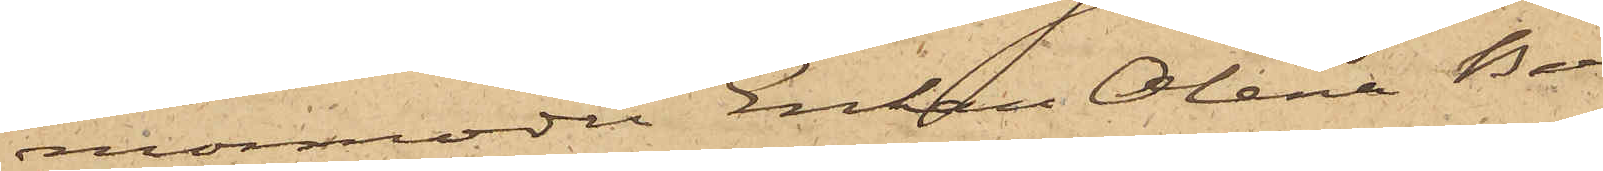mormoder Enkan Olena Berg¬
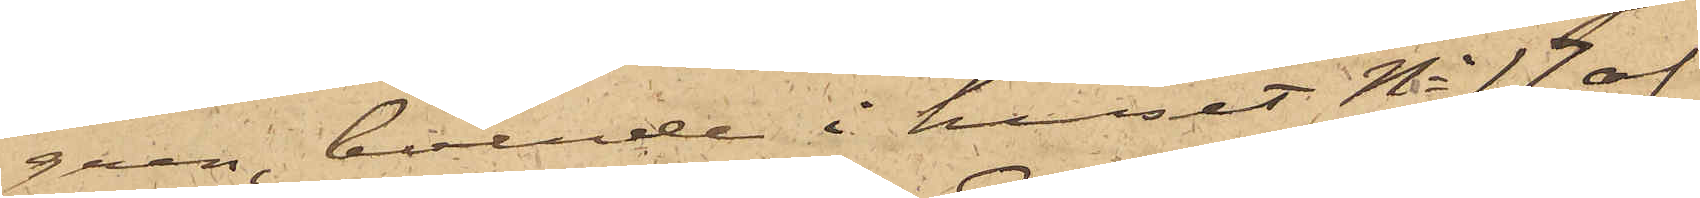gren, boende i huset No 17 af
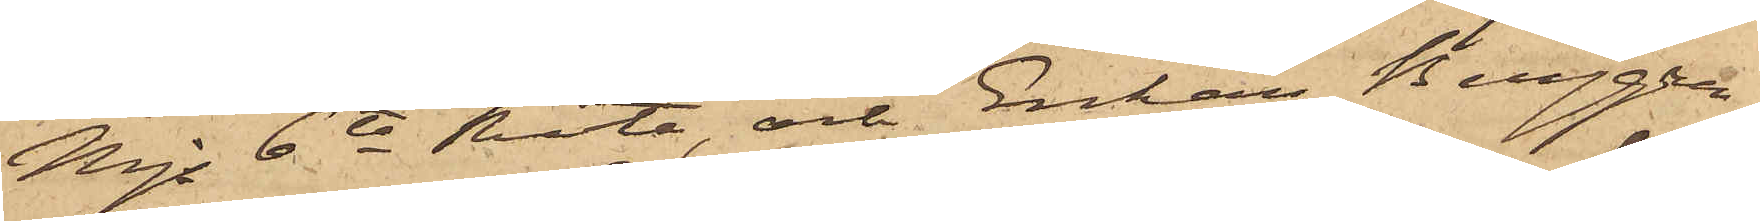Mjs 6te Rote, och Enkan Berggren,
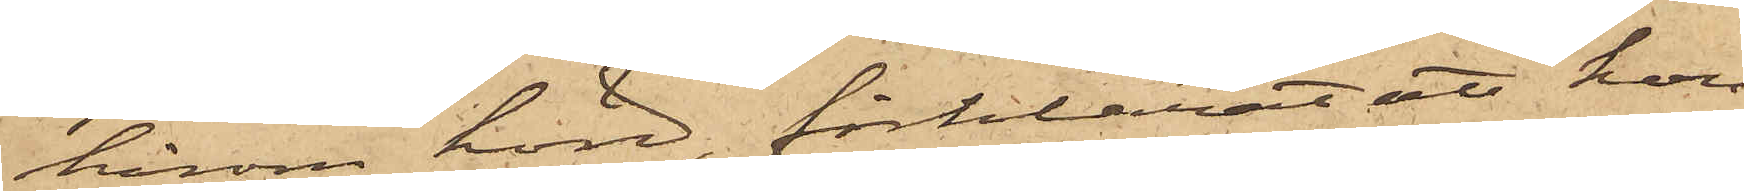härom hörd, förklarat att hon
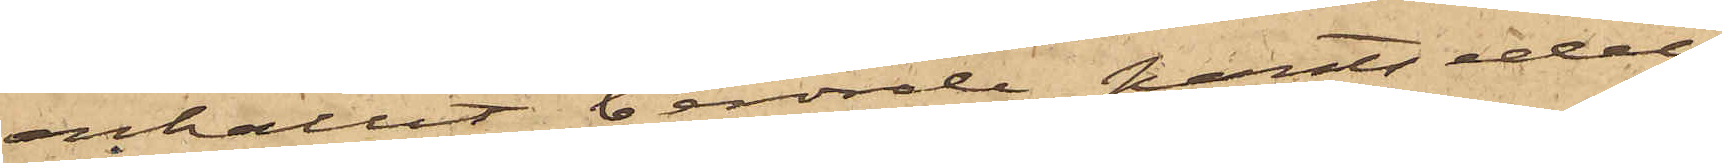erhållit berörde pantsedel
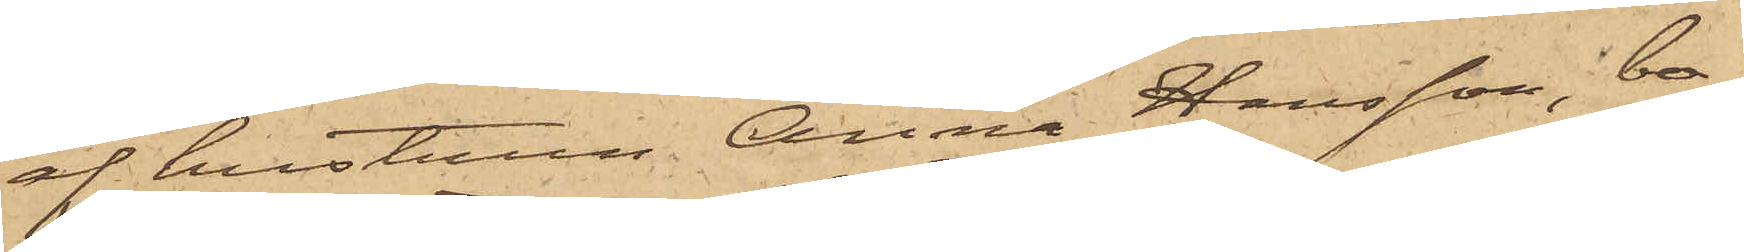af hustrun Anna Hansson, bo¬
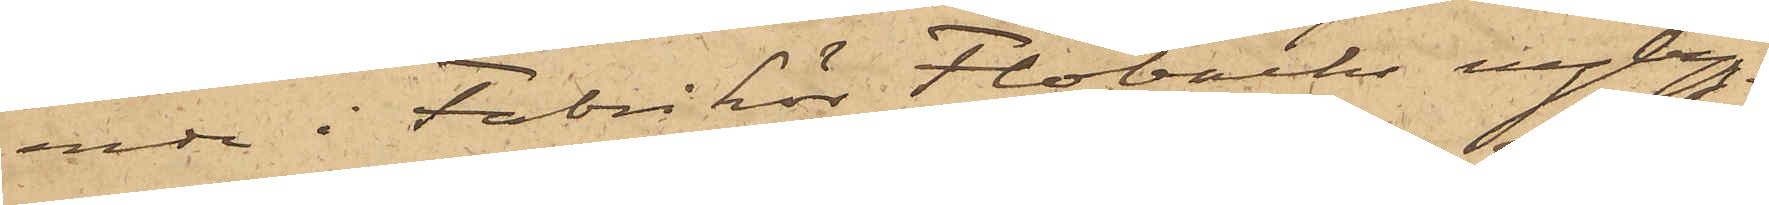ande i Fabrikör Flobäcks nybygg¬
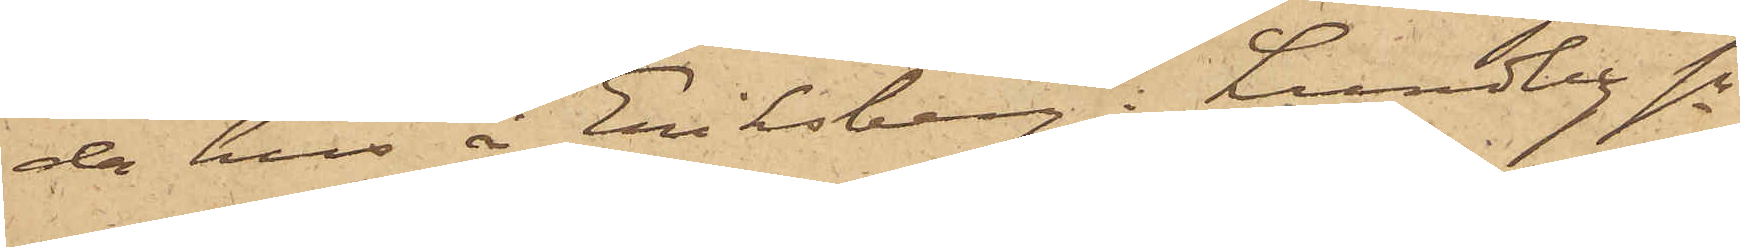da hus å Eriksberg i Lundby sn
